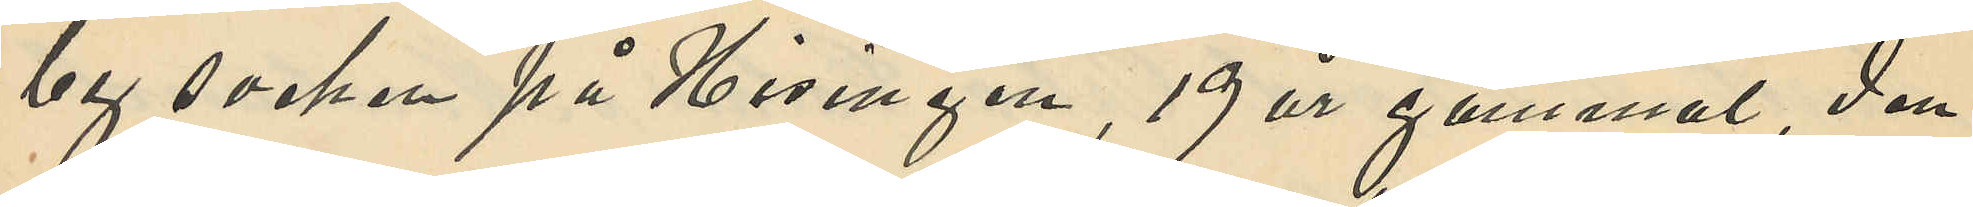by socken på Hisingen, 19 år gammal, den
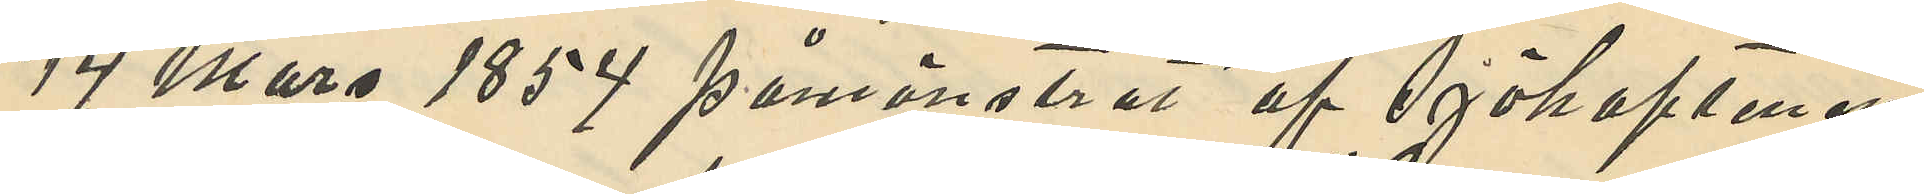14 Mars 1854 påmönstrat af Sjökaptenen
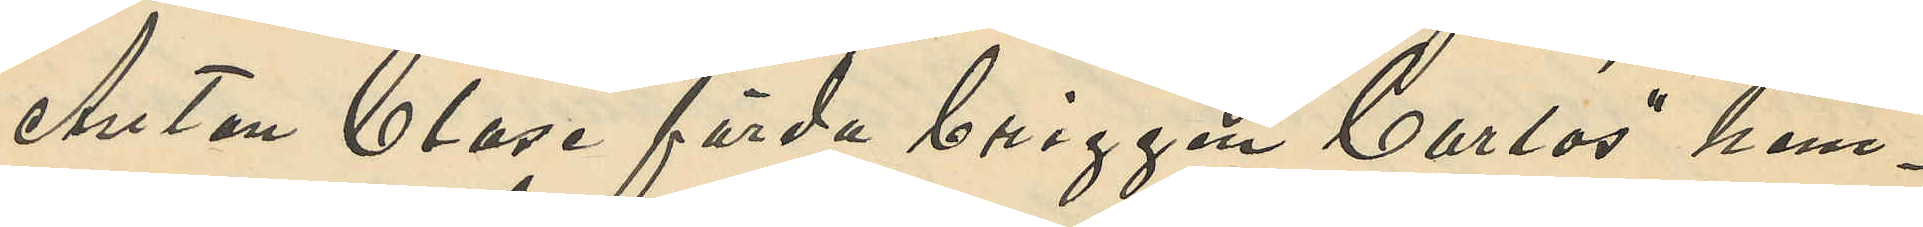Anton Clase förda briggen "Carlos" hem¬
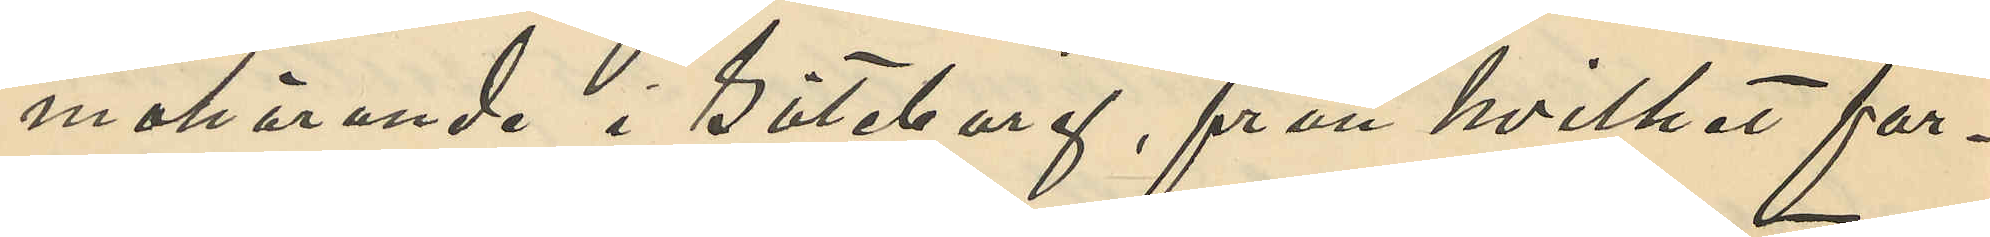mahörande i Göteborg, från hvilket far¬
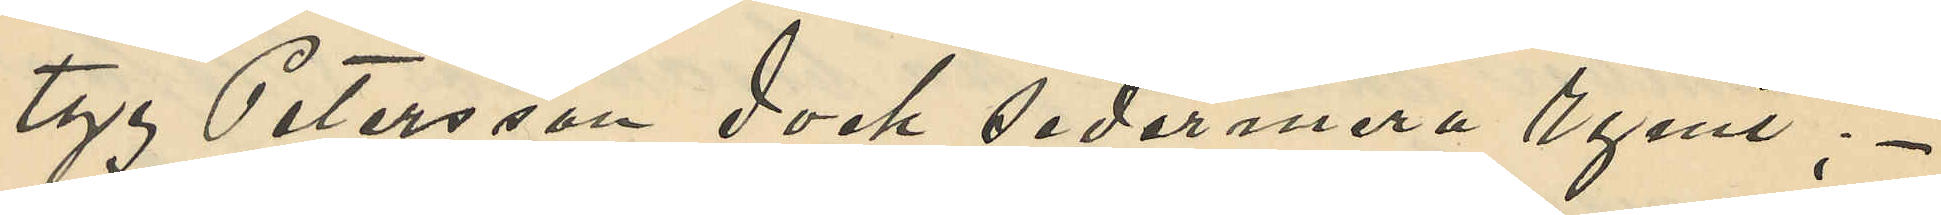tyg Petersson dock sedermera rymt;
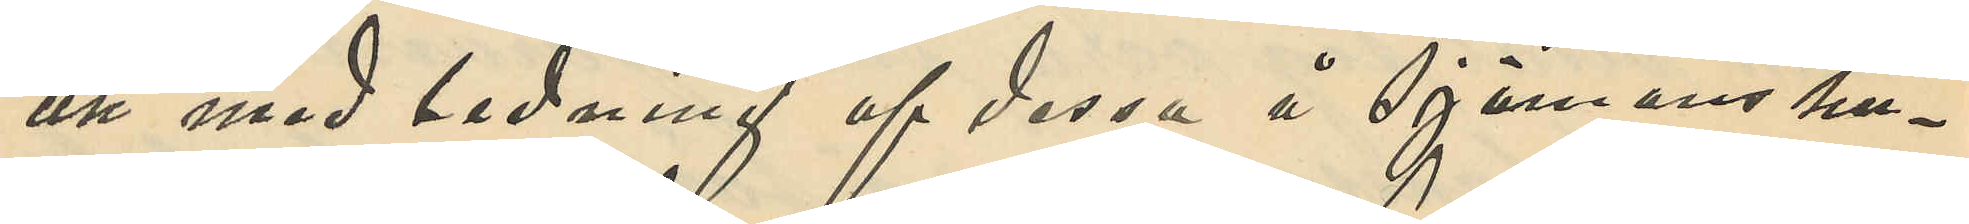att med ledning af dessa å sjömanshu¬
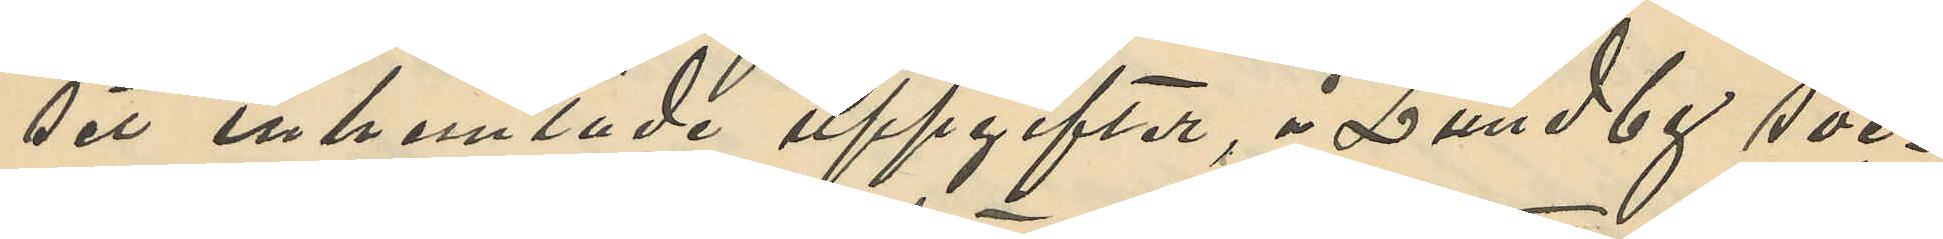set inhemtade uppgifter, å Lundby soc¬
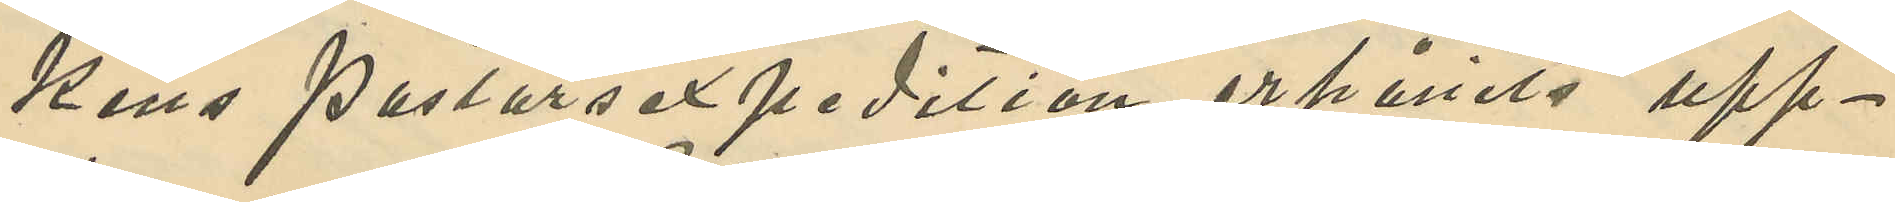kens Pastorsexpedition erhålits upp¬
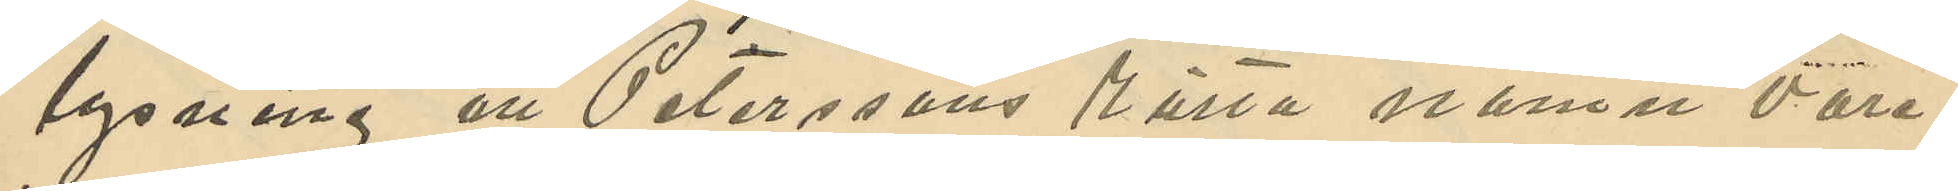lysning att Peterssons rätta namn vore
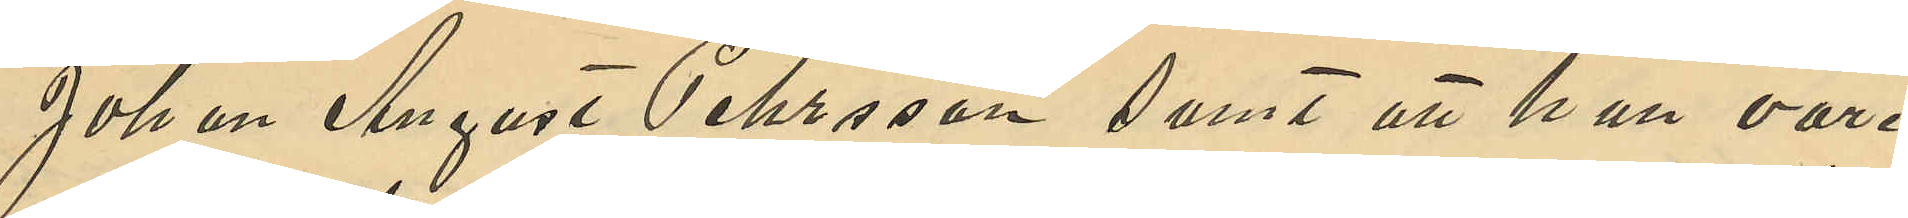Johan August Pehrsson samt att han vore
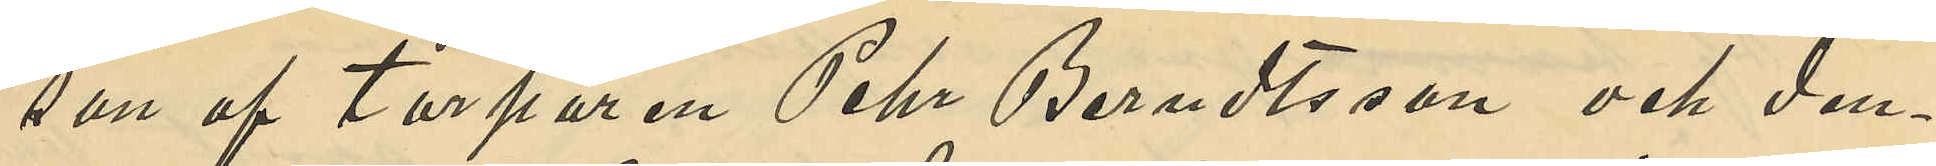son af torparen Pehr Berndtsson och den¬
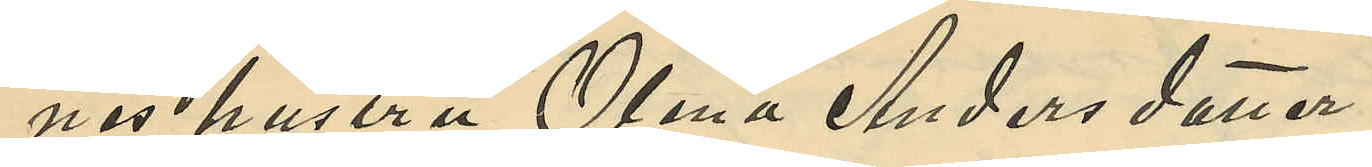nes hustru Olena Andersdotter.
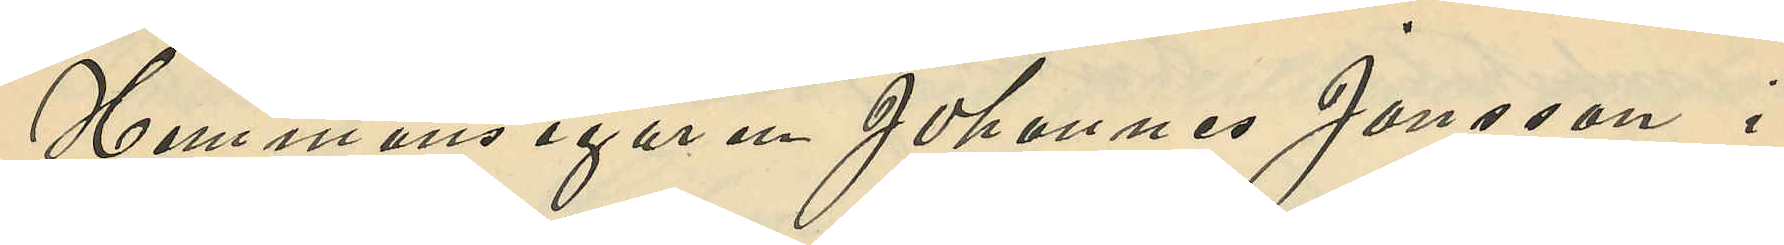Hemmansegaren Johannes Jansson i
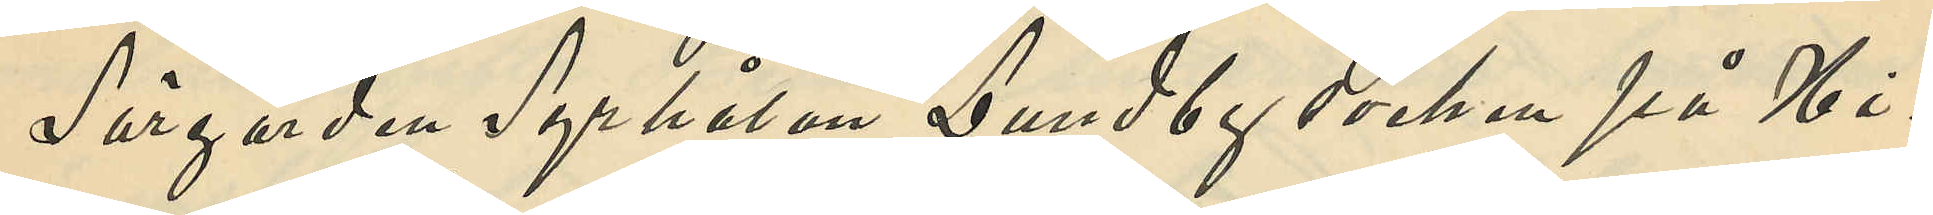Sörgården Syrhålan Lundby socken på Hi¬
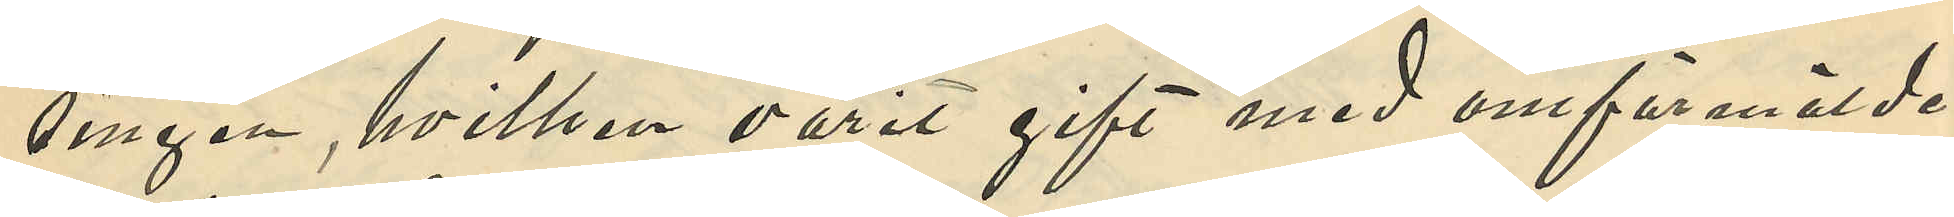singen, hvilken varit gift med omförmälde
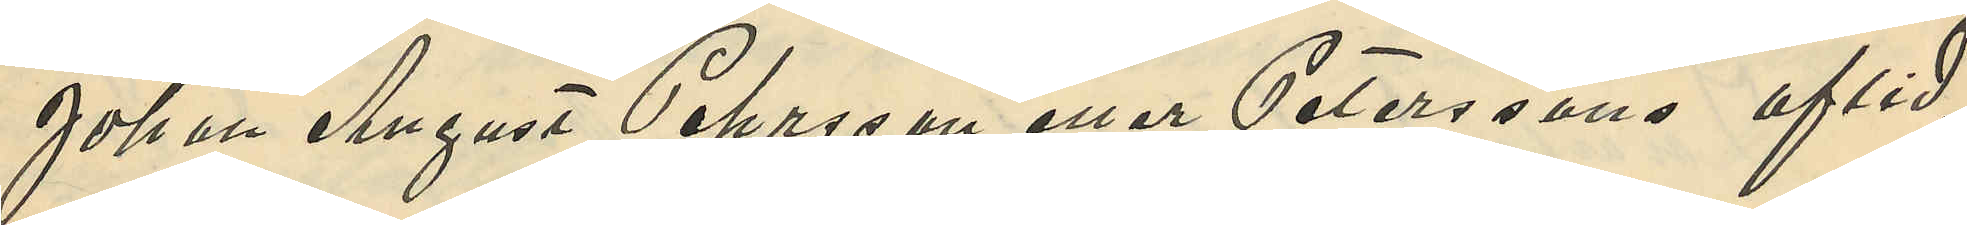Johan August Pehrsson eller Peterssons aflid¬
